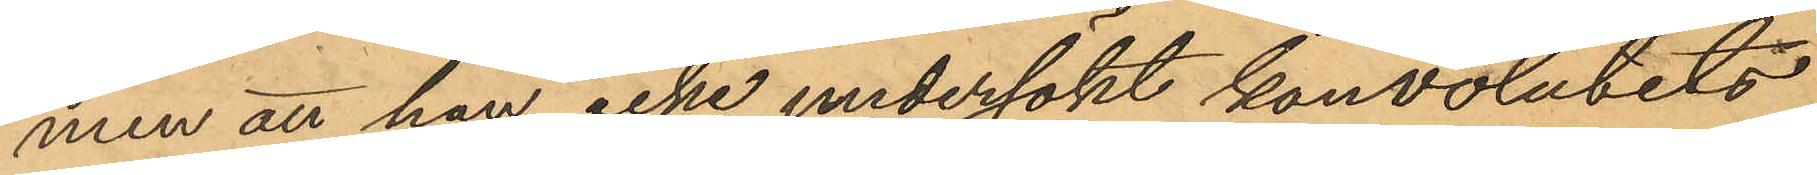men att han icke undersökt konvolutets
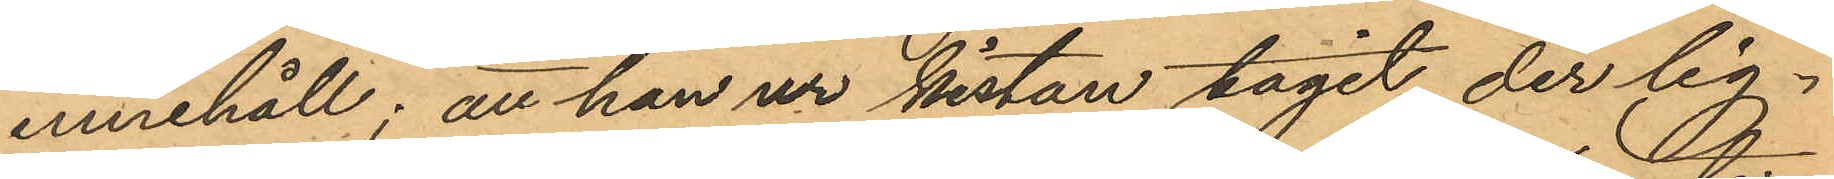innehåll; att han ur kistan tagit der lig¬
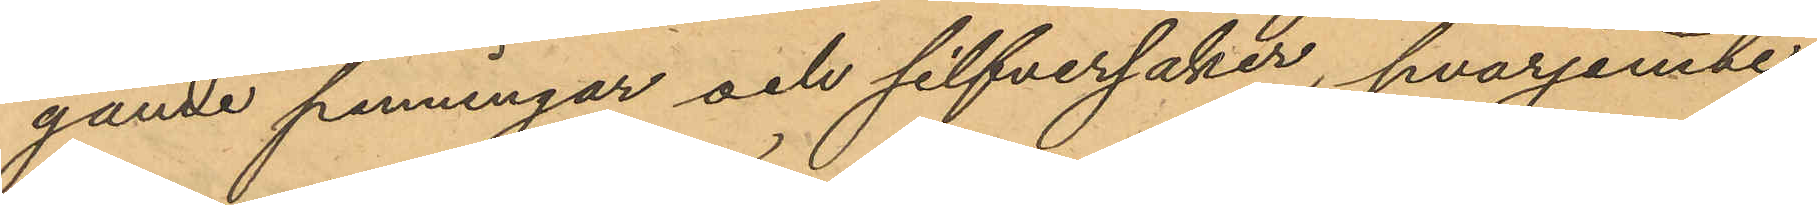gande penningar och silfversaker, hvarjemne
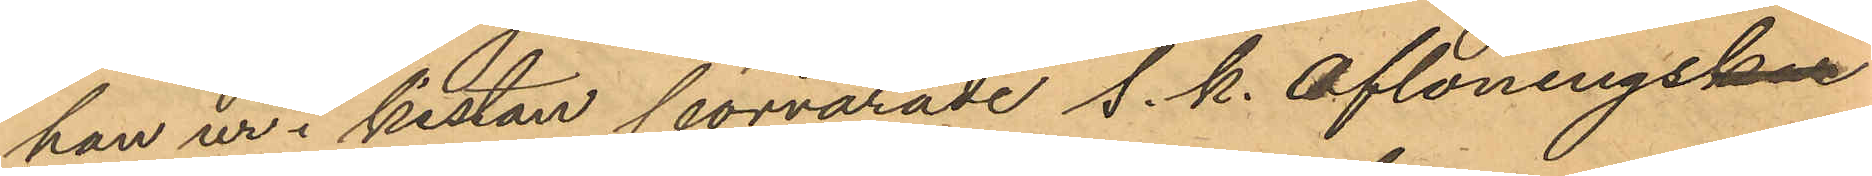han ur i kistan förvarade s. k. aflönings¬
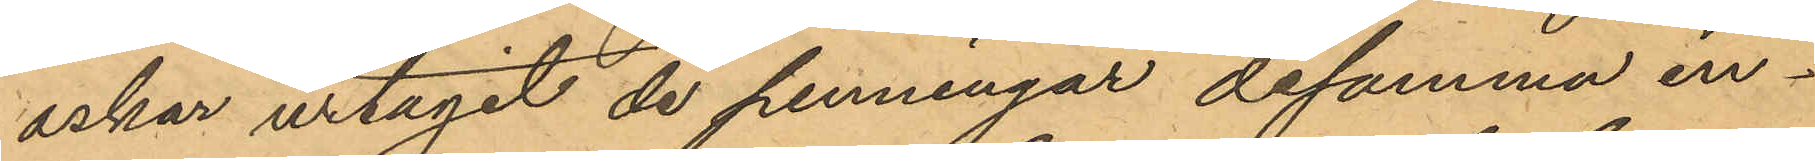askar urtagit de penningar desamma in¬
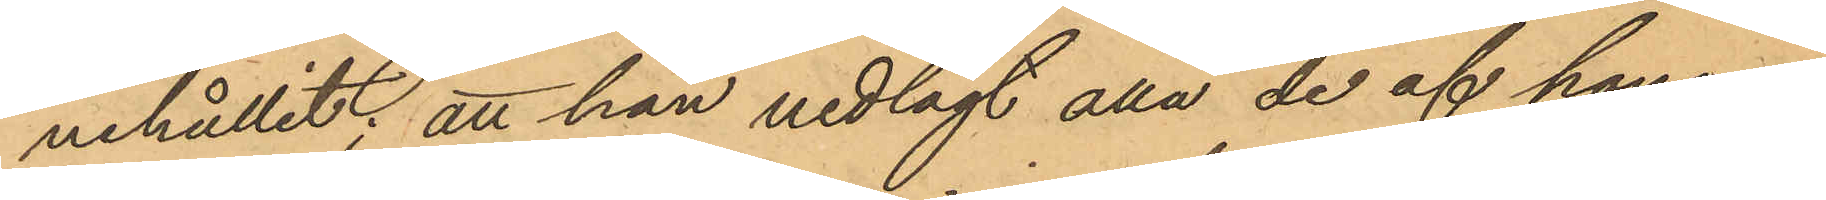nehållit; att han nedlagt alla de af honom
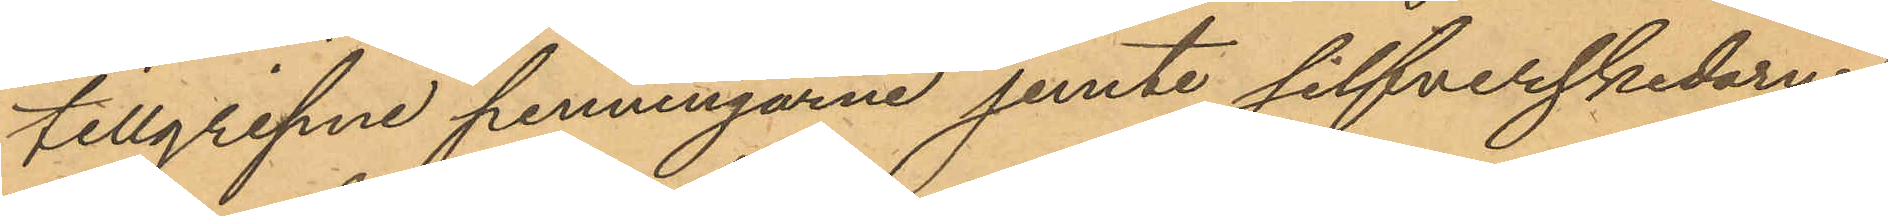tillgripne penningarne jemte silfverskedarne
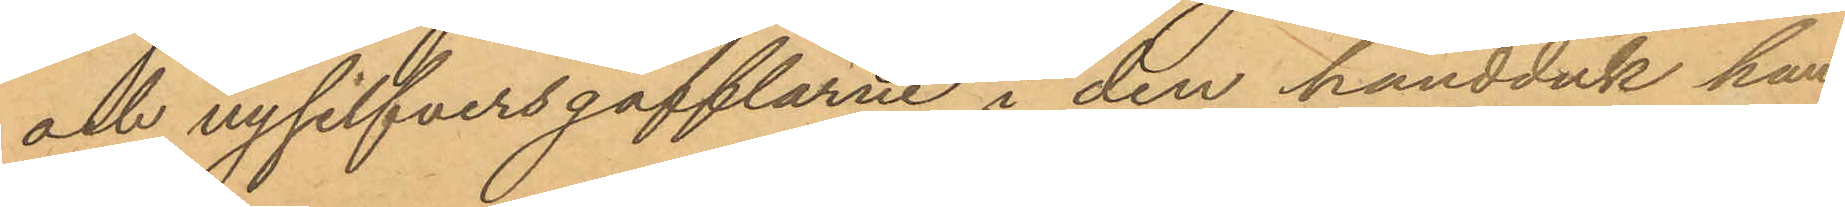och nysilfversgafflarne i den handduk han
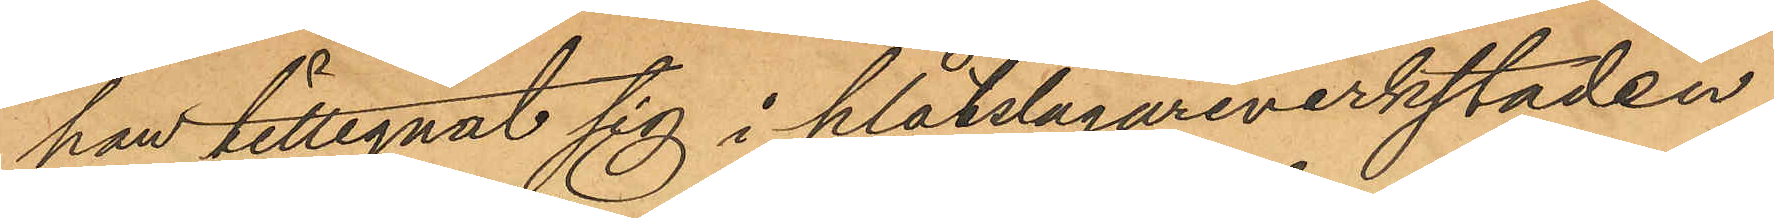han tillegnat sig i plåtslagareverkstaden
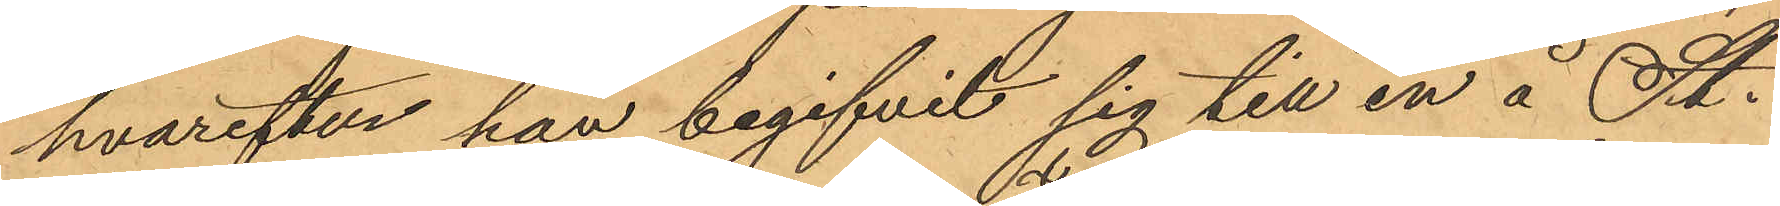hvarefter han begifvit sig till en å St.
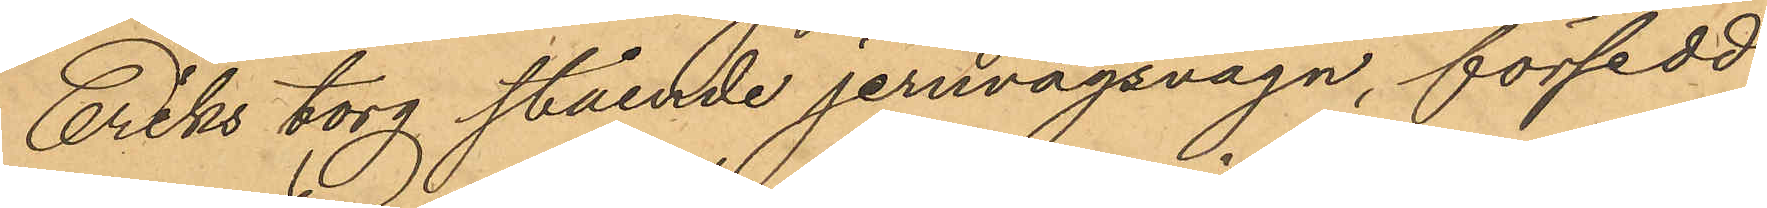Eriks torg stående jernvägsvagn, försedd
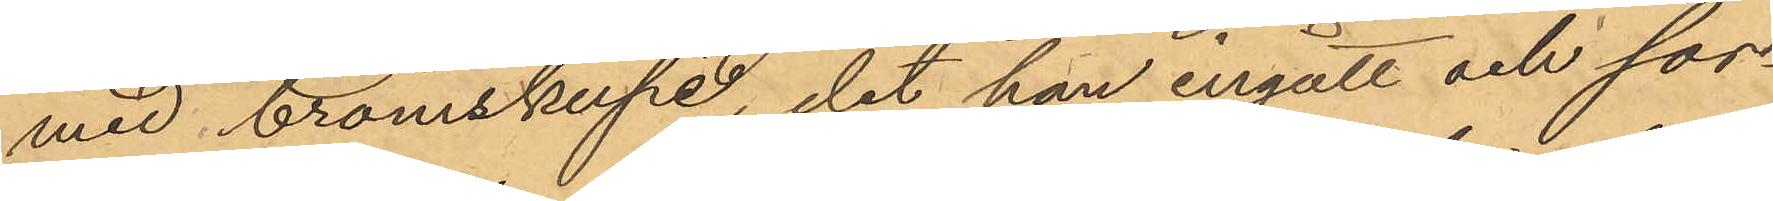med bromskupé, det han ingått och sor¬
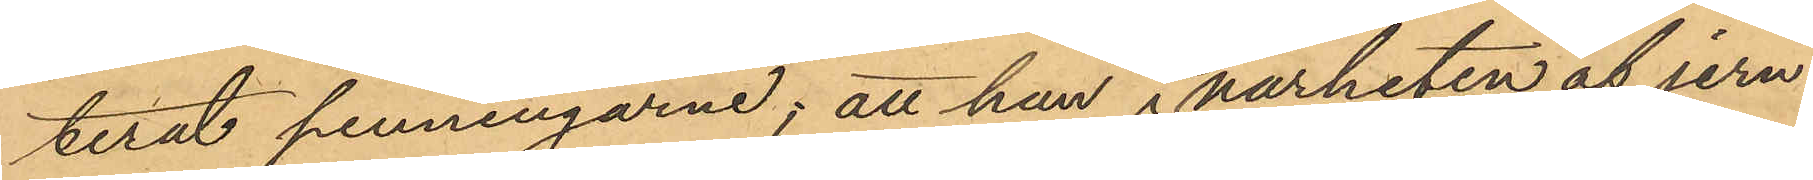terat penningarne; att han i närheten af jern¬
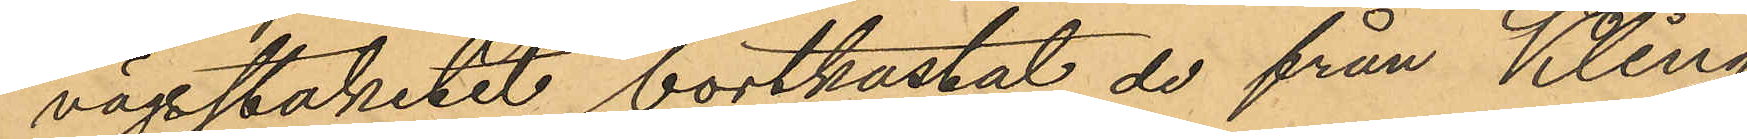vägstaketet bortkastat de från Kling
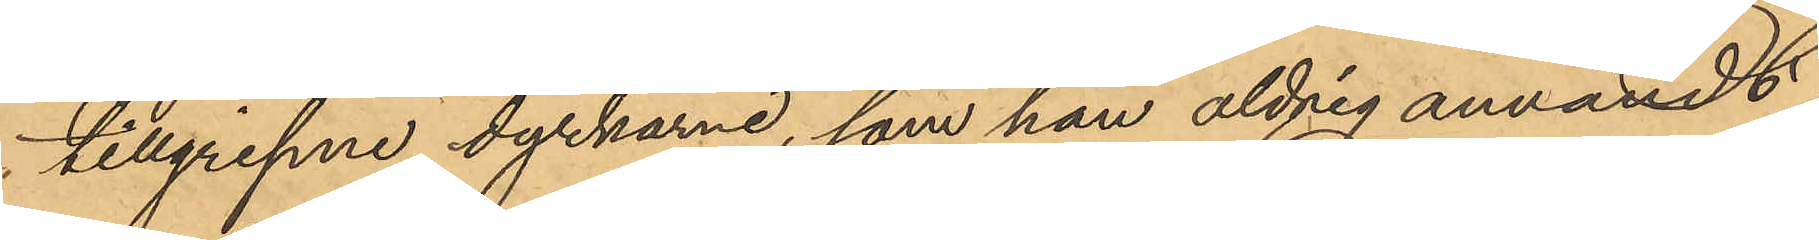tillgripne dyrkarne, som han aldrig användt;
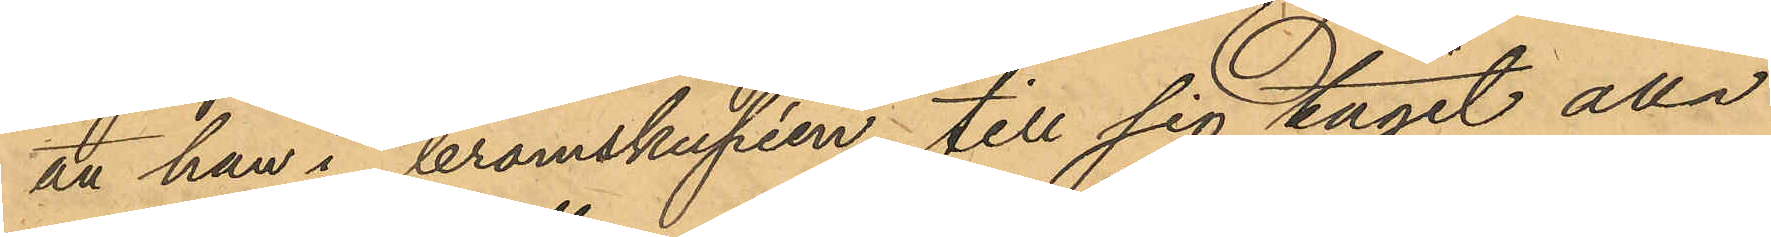att han i bromskupén till sig tagit alla
